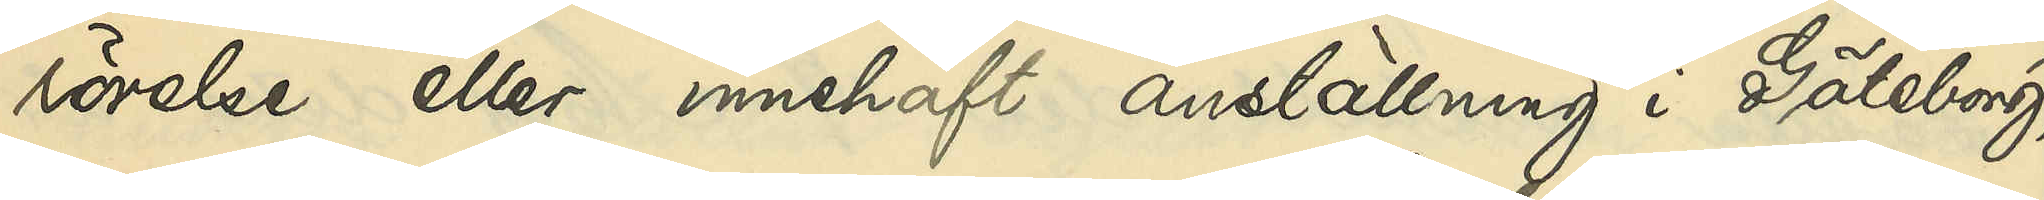rörelse eller innehaft anställning i Göteborg,
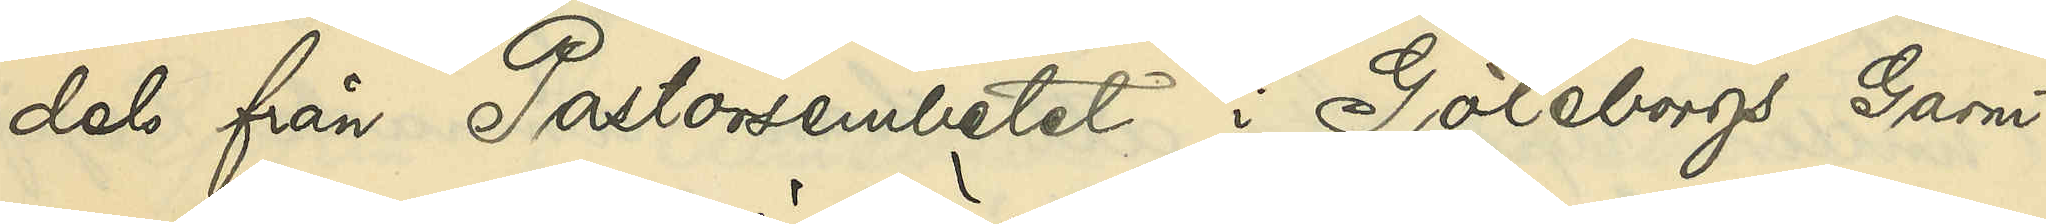dels från Pastorsembetet i Göteborgs Garni¬
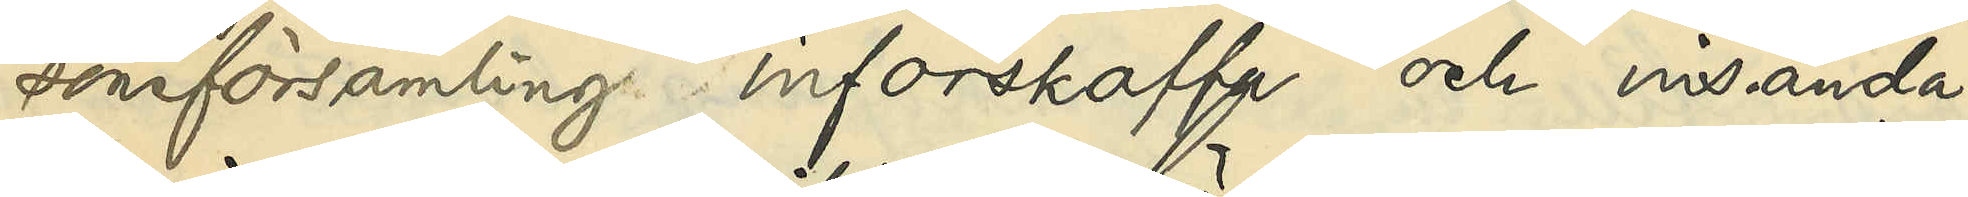sonsförsamling införskaffa och insända
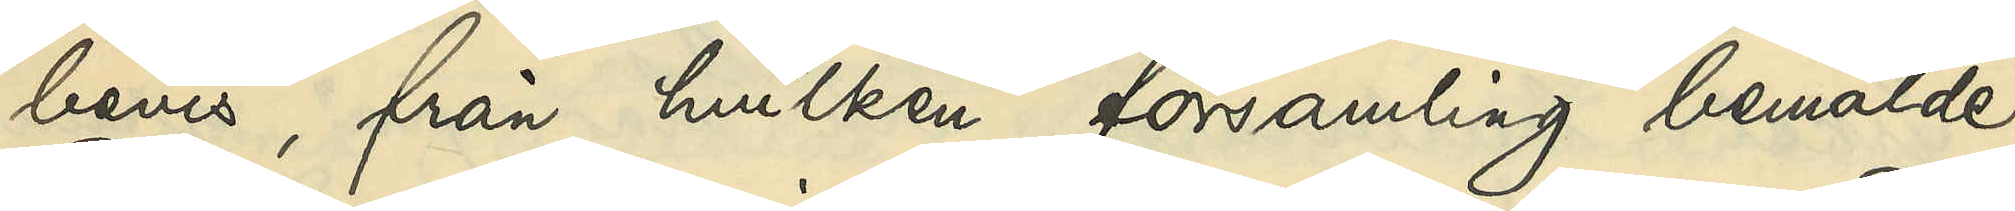bevis, från hvilken församling bemälde
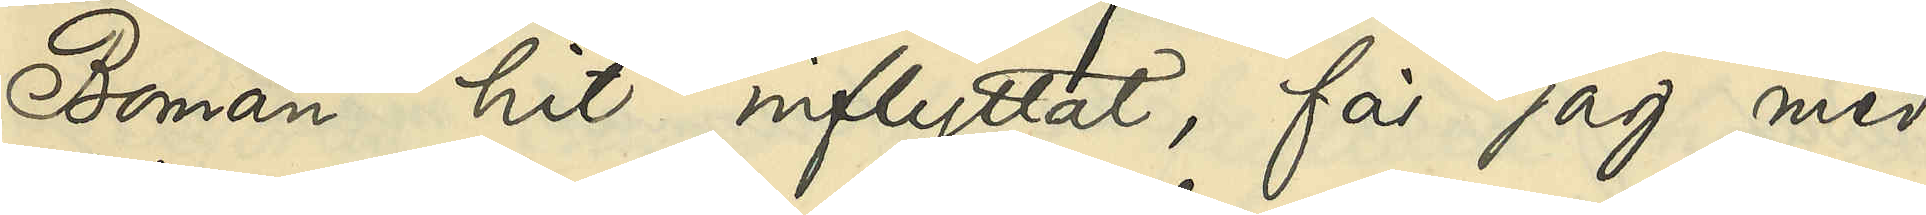Boman hit inflyttat, får jag med
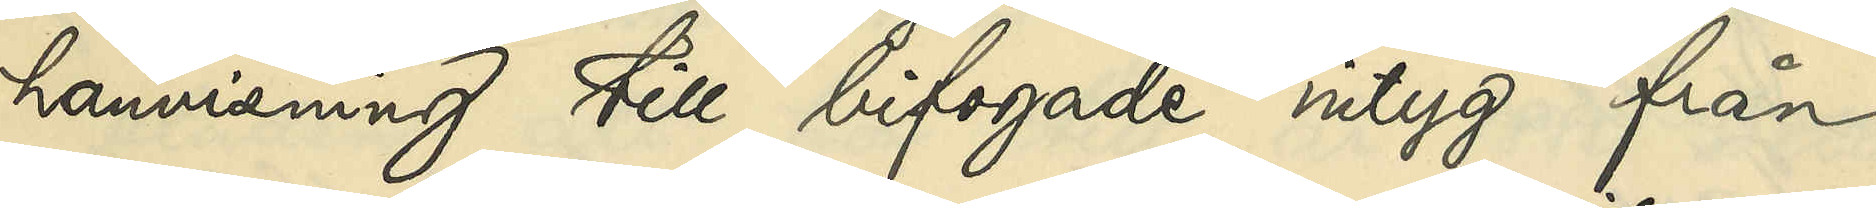hänvisning till bifogade intyg från
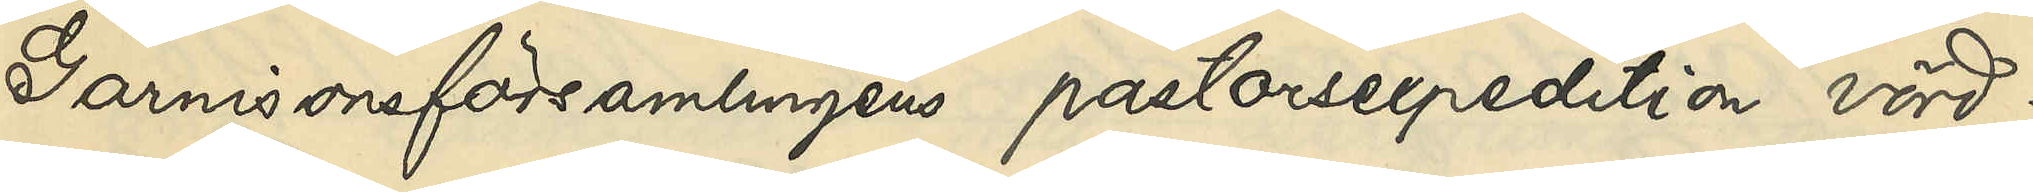Garnisonsförsamlingens pastorsexpedition vörd¬
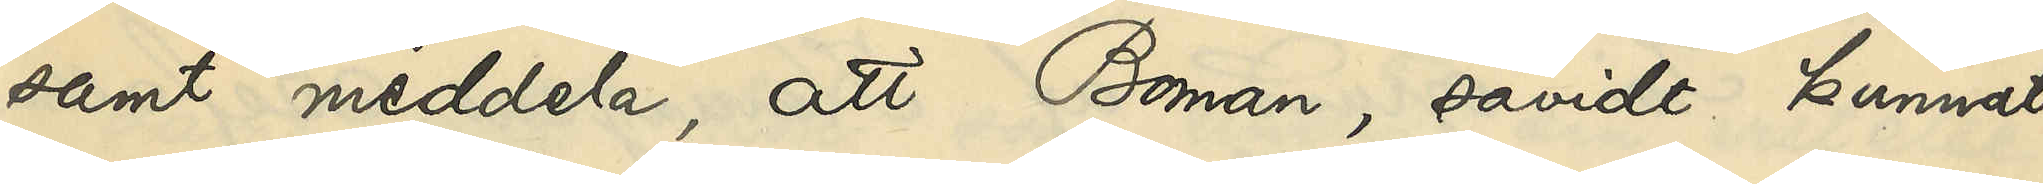samt meddela, att Boman, såvidt kunnat
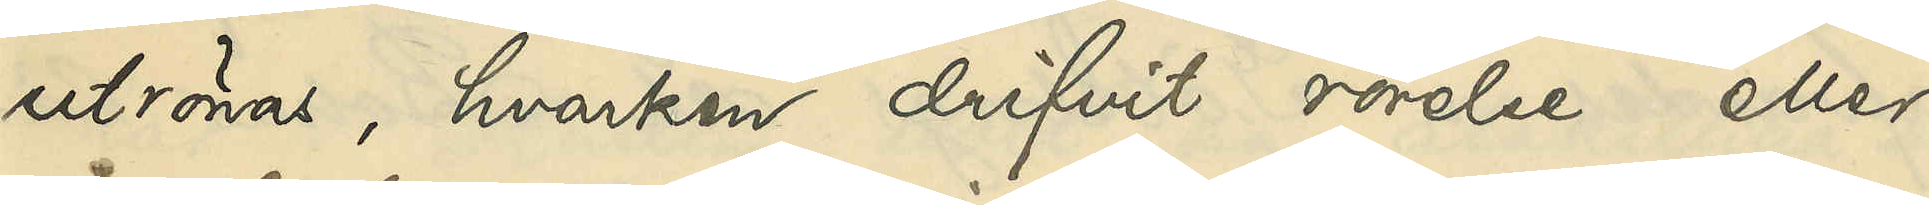utrönas, hvarken drifvit rörelse eller
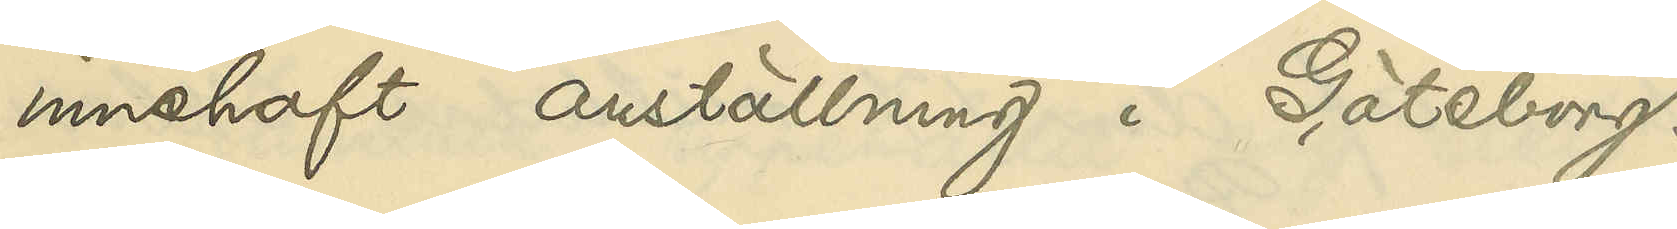innehaft anställning i Göteborg.
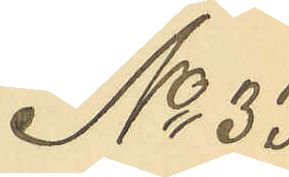No 33
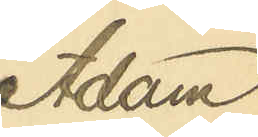Adam
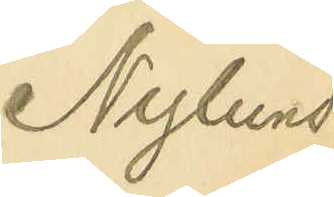Nylund
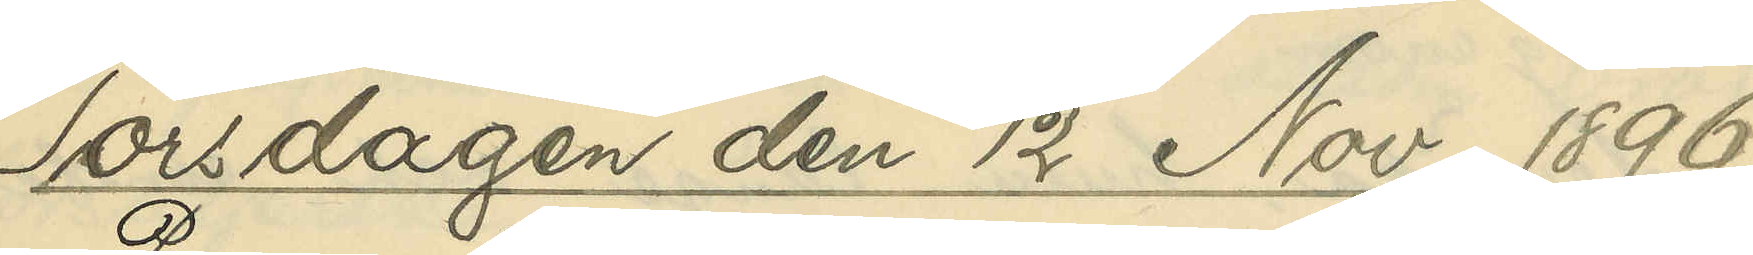Torsdagen den 12 Nov. 1896
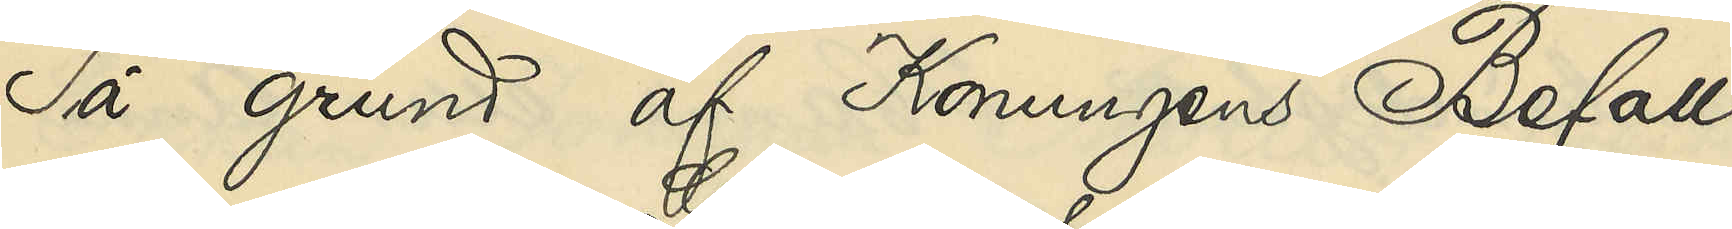På grund af Konungens Befall¬
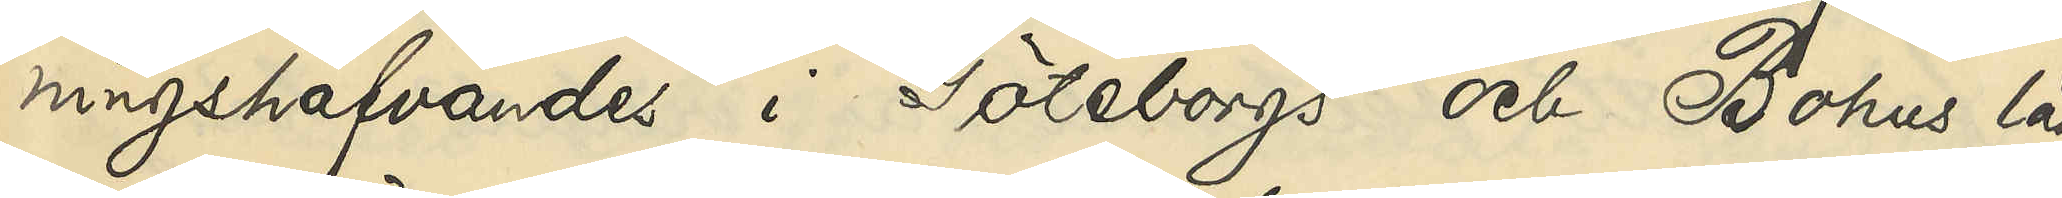ningshafvandes i Göteborgs och Bohus län
